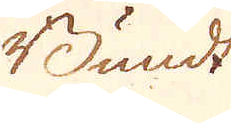Bundt
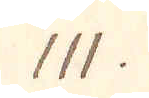111.
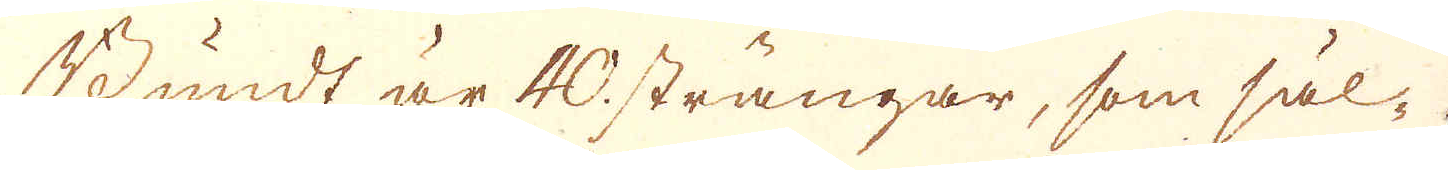Bundt är 40. strängar, som säl-
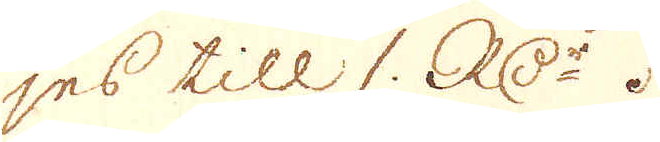jes till 1. RD:r.
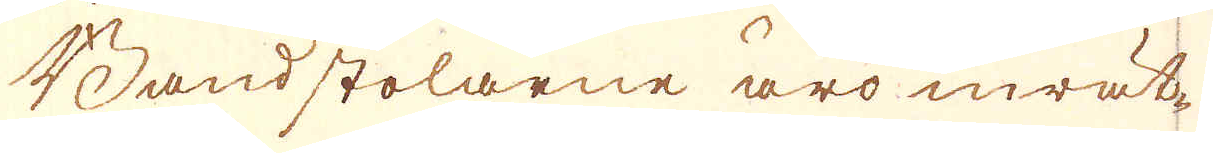Bandstolarne äro inrät-
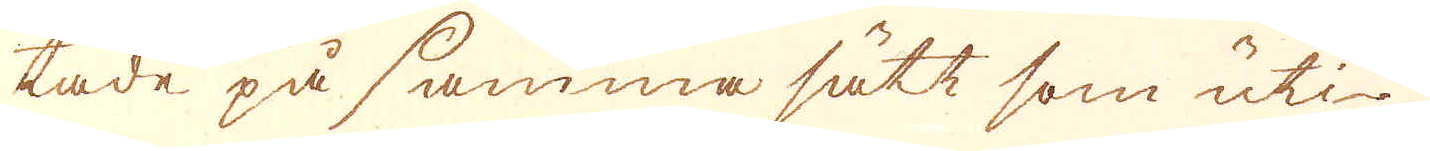tade på samma sätt som uti-
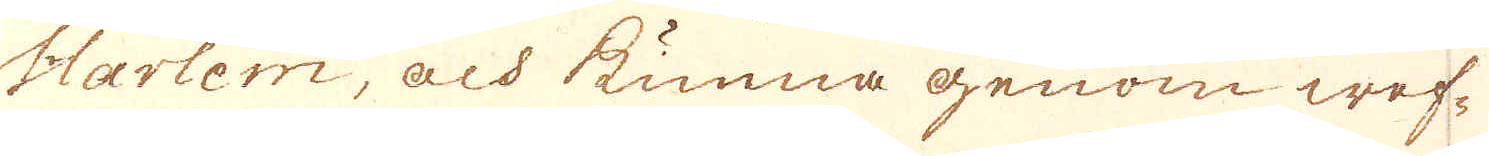Harlem, och kunna genom wef-
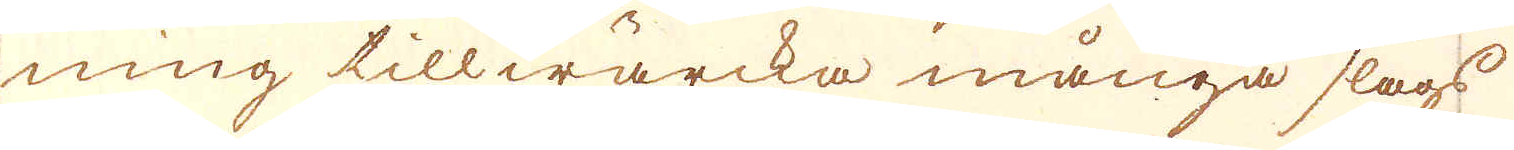ning tillwärcka många slags
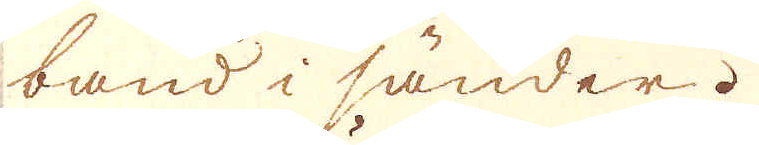band i sänder.
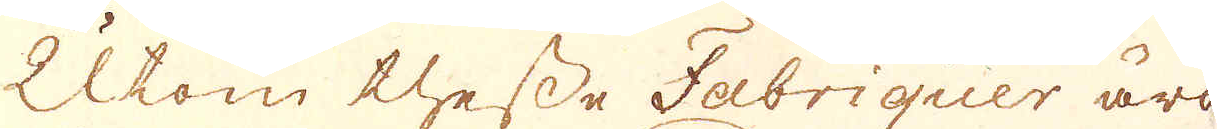Utom thesse Fabriquer äro
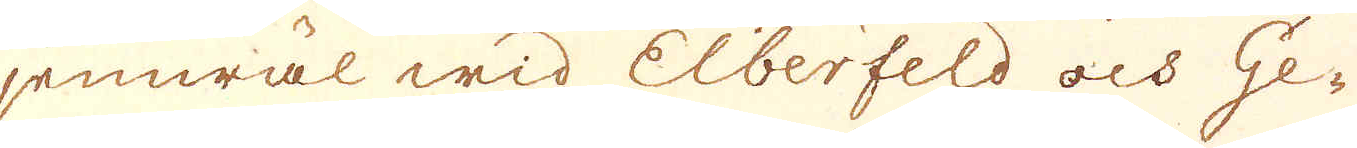jemwäl wid Elberfeld och Ge-
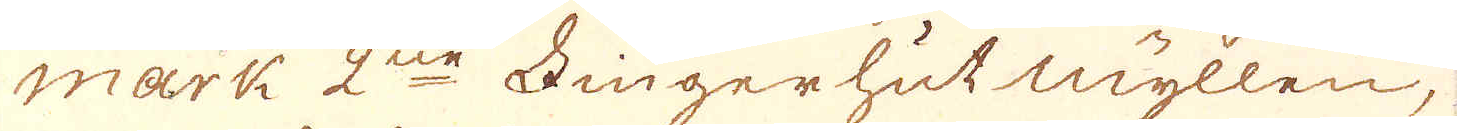mark 2ne Fingerhut myllen,
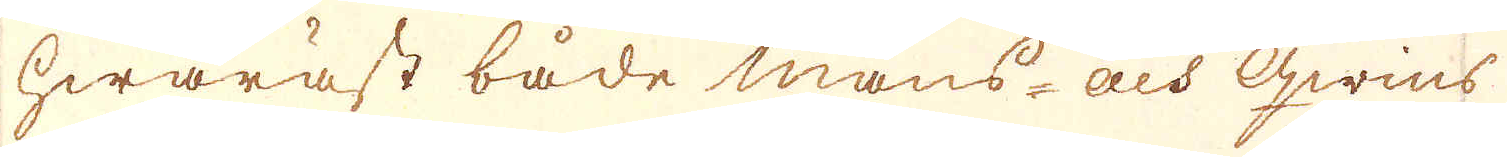hwaräst både mans- och qwins
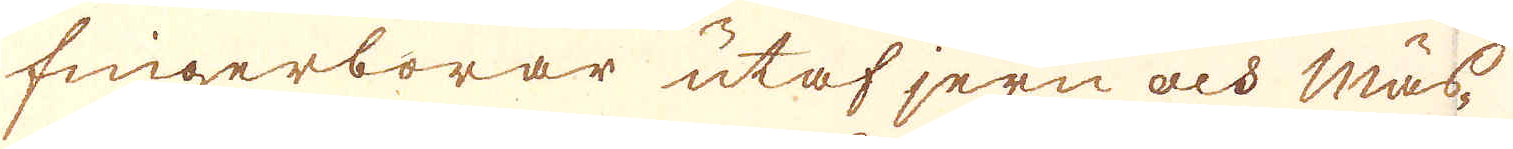fingerborar utaf jern och mäs-
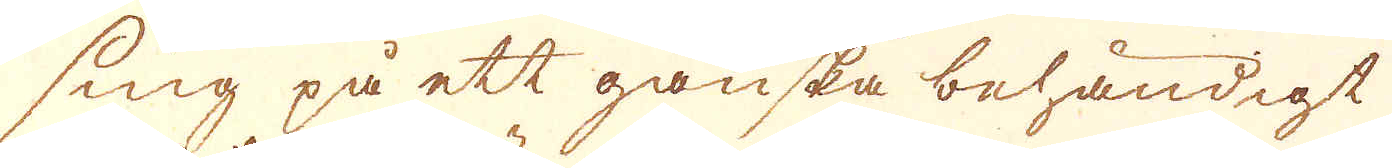sing på ett ganska behändigt
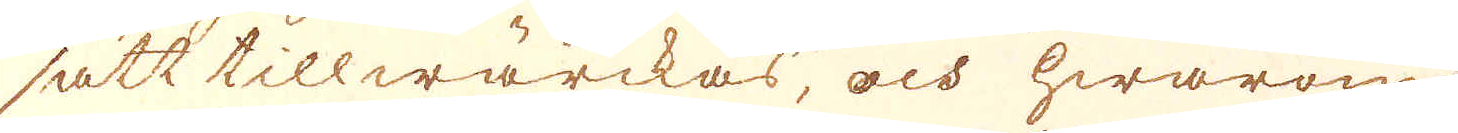sätt tillwärckas, och hwarom
